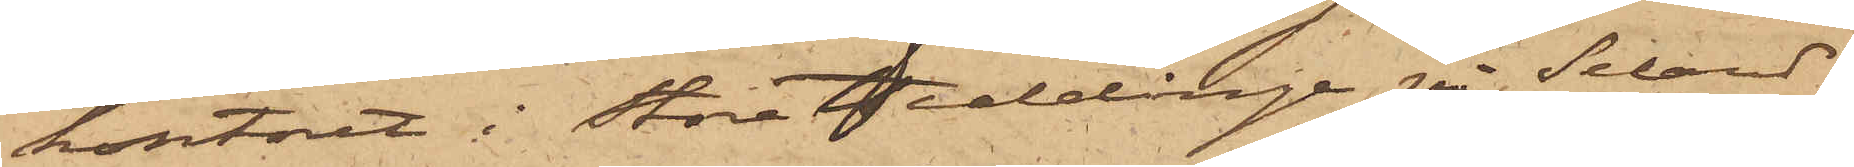kontoret i Stora Tiddinge på Seland
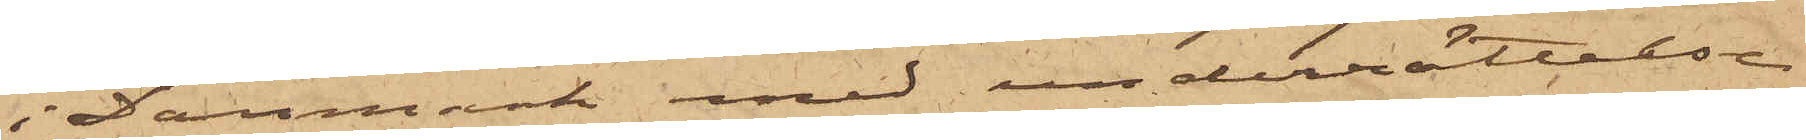i Danmark med underrättelse
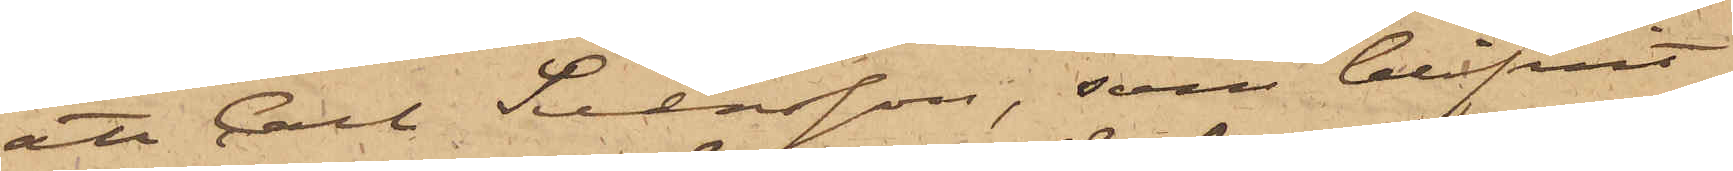att Carl Svensson, som blifvit
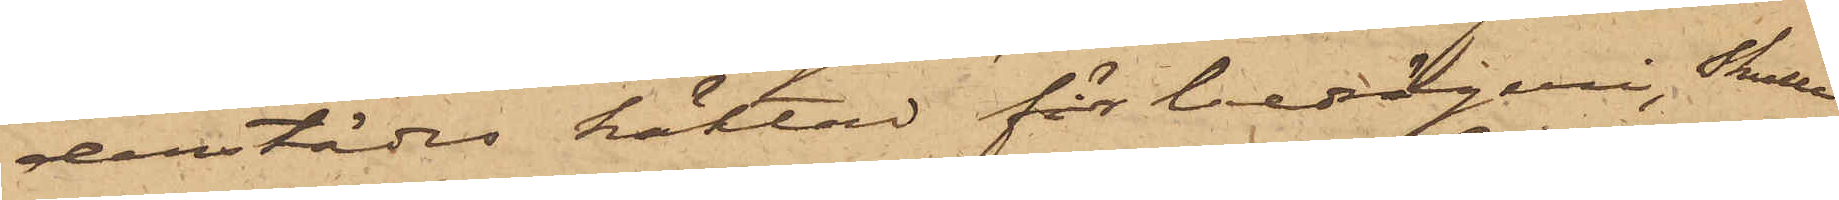derstädes häktad för berägeri, skulle
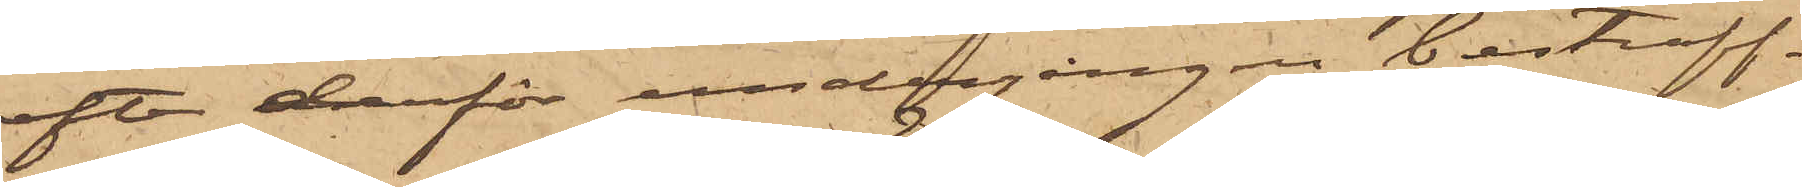efter derför undergången bestraff¬
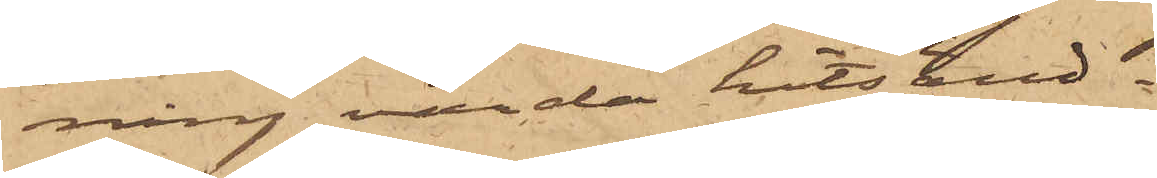ning varda hitsänd.
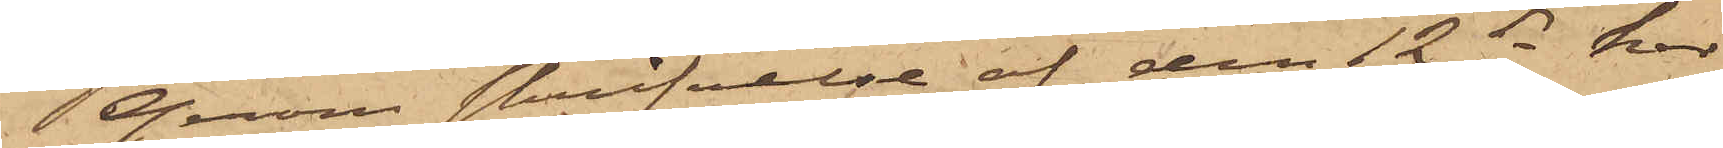Genom skrifvelse af den 12 ds har
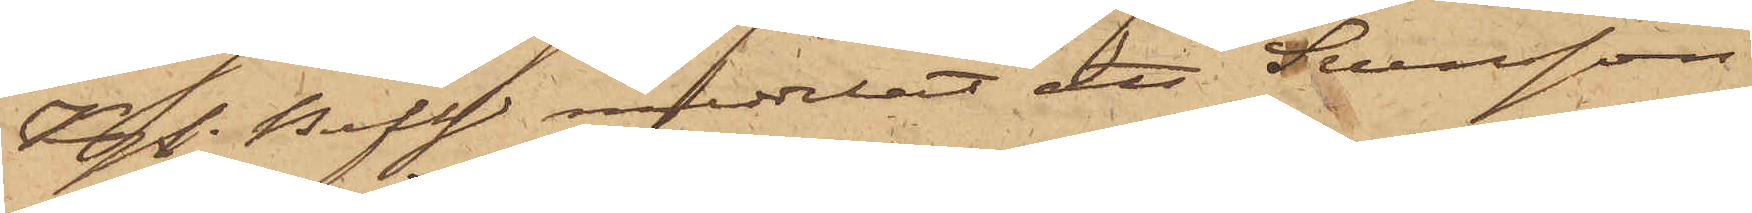Kgl. Befh. meddelat att Svensson
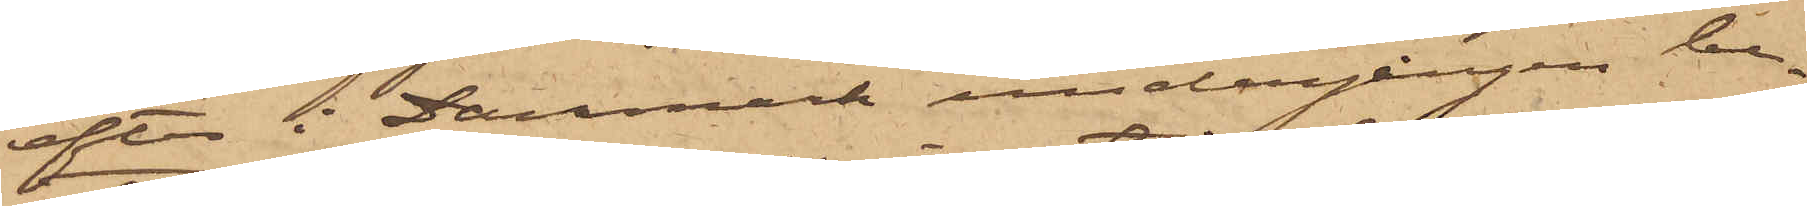efter i Danmark undergången be¬
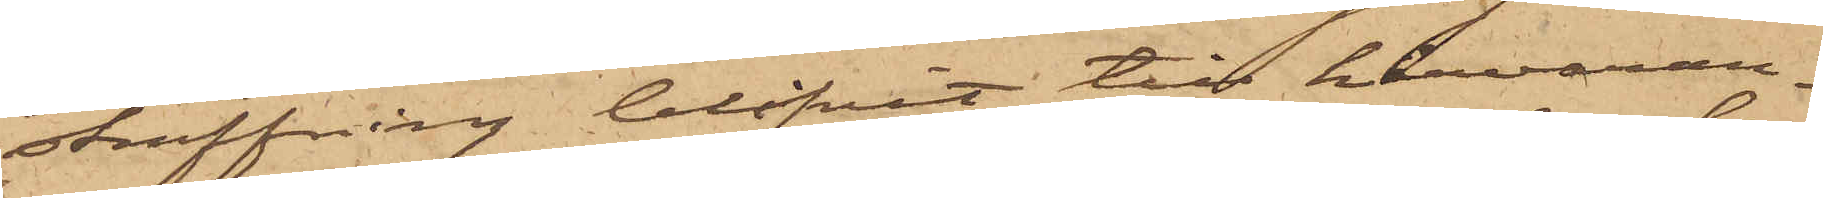straffning blifvit till härvaran¬
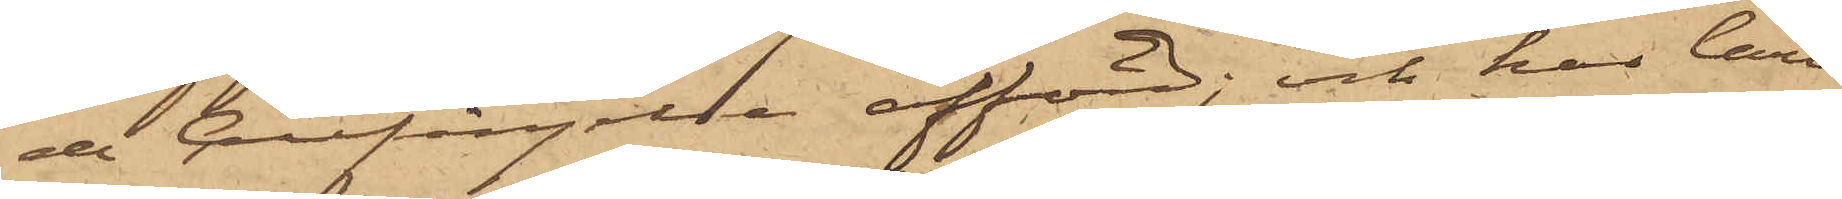de Cellfängelse afförd; och har Carl
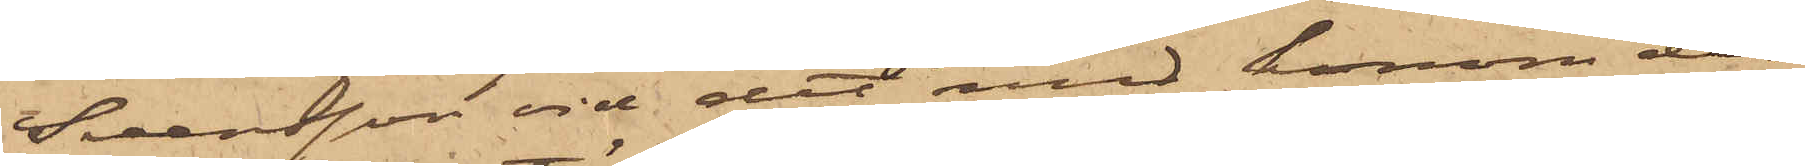Svensson vid det med honom der¬
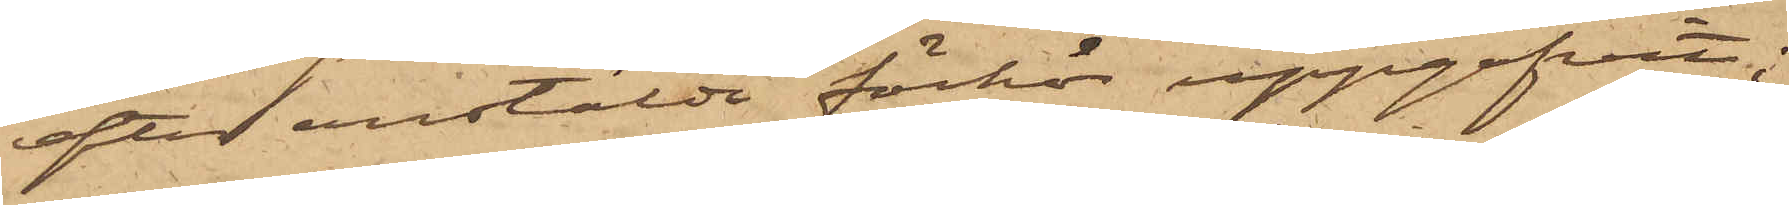efter anstälda förhör uppgifvit;
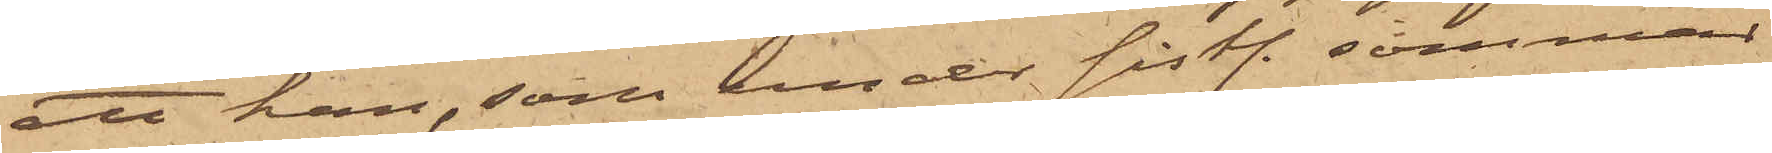att han, som under sistl. sommar
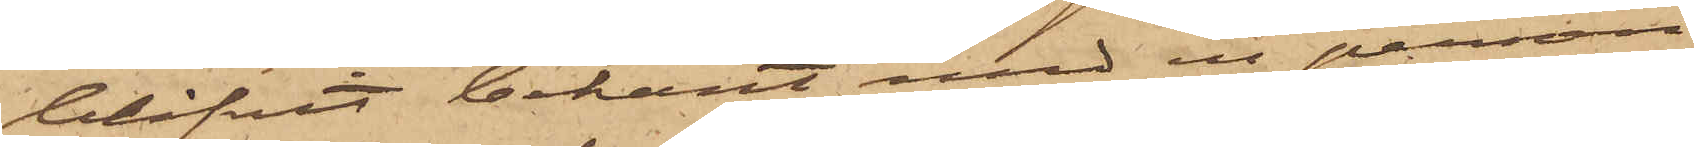blifvit bekant med en person
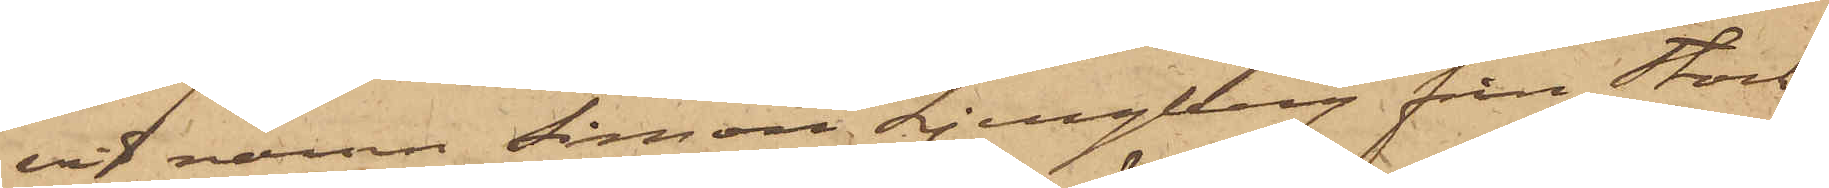vid namn Simon Ljungberg från Stock¬
